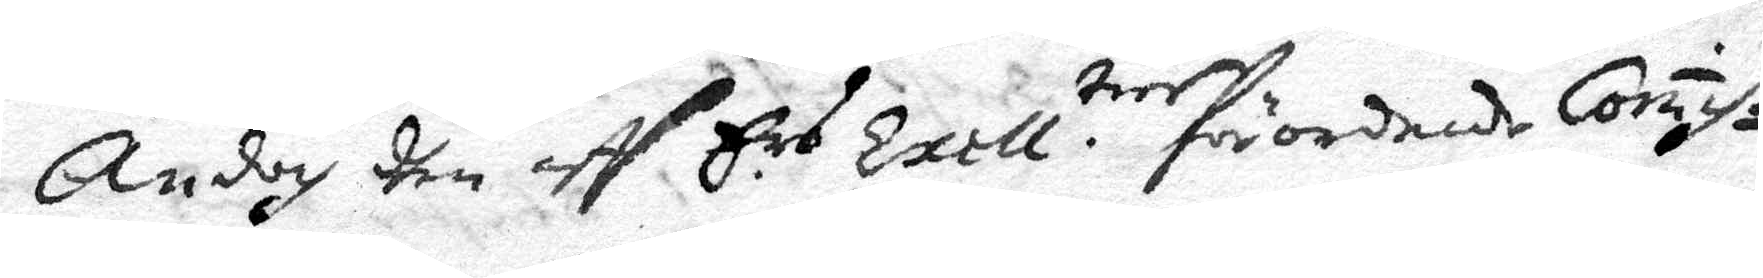Ändoch dhen aff Ers. Exell.tier förordnade Com̄is¬
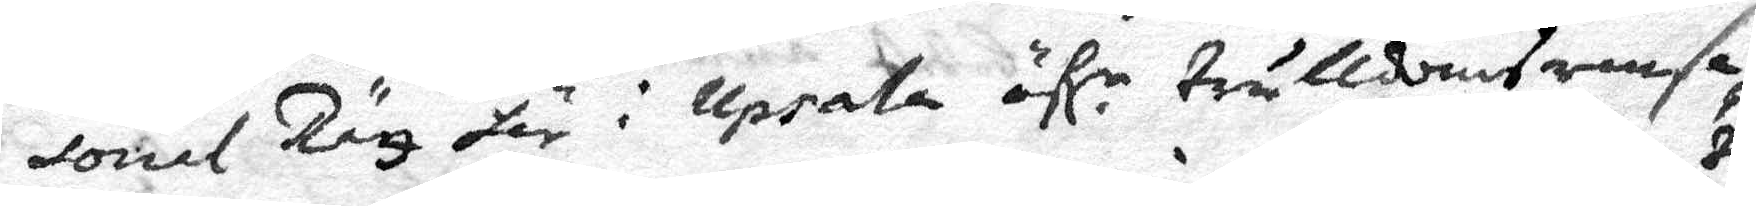sorial Räz här i Upsala öfl. r trulldomsransa¬
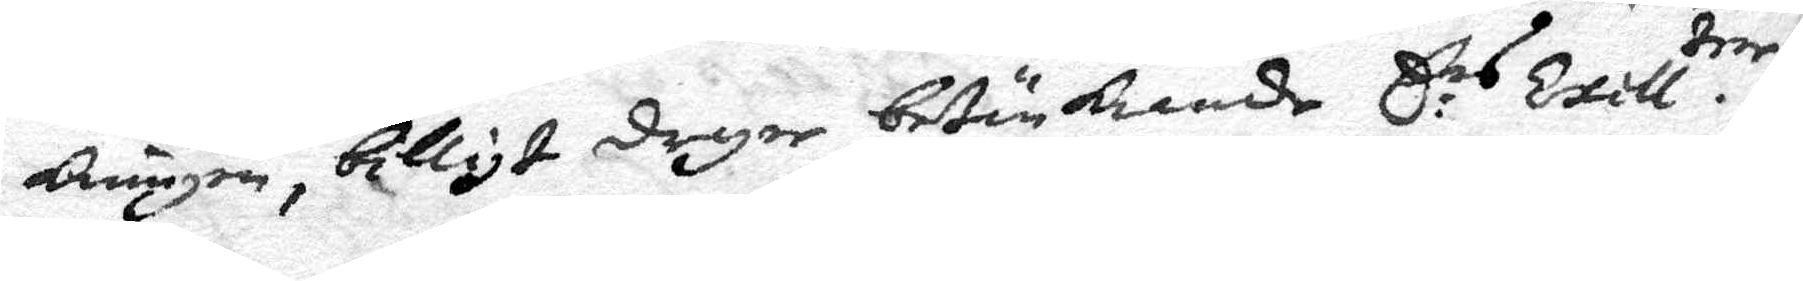kninen, billigt dryer betänkiande E: rs Exell. tier
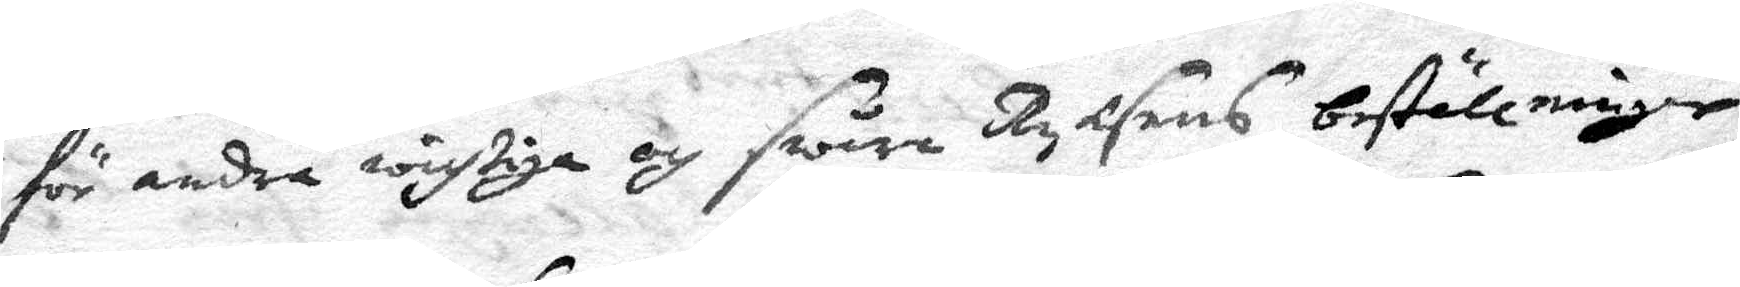för andra wigtiga och swåra Ryksens beställninger
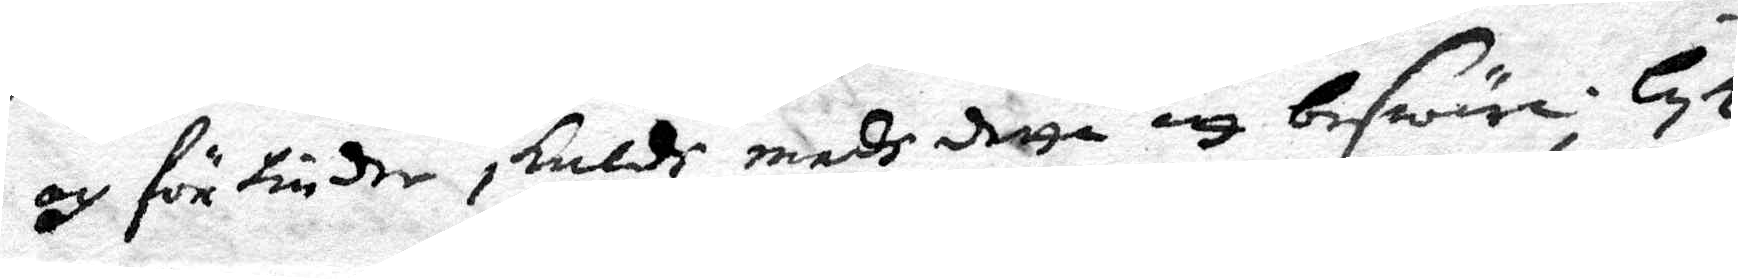och för tinder skuldh medh detta att beswära. LyK¬
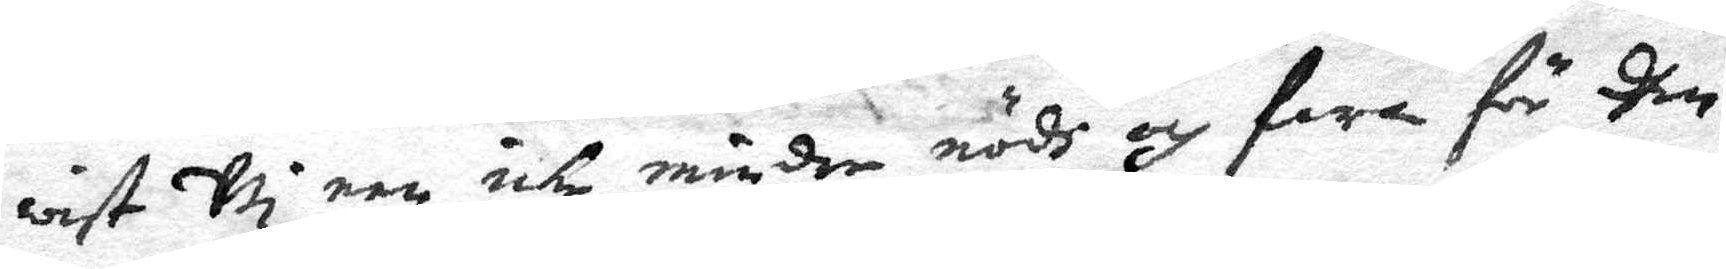wist Wi een icke mindre nödh och fara för dhen
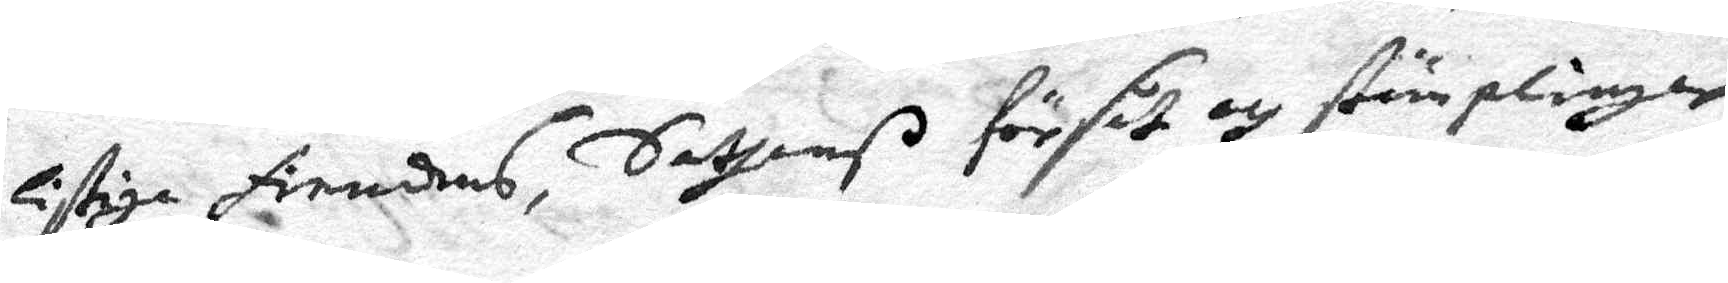listiga fiendens, Sathans försåt och stämplingar
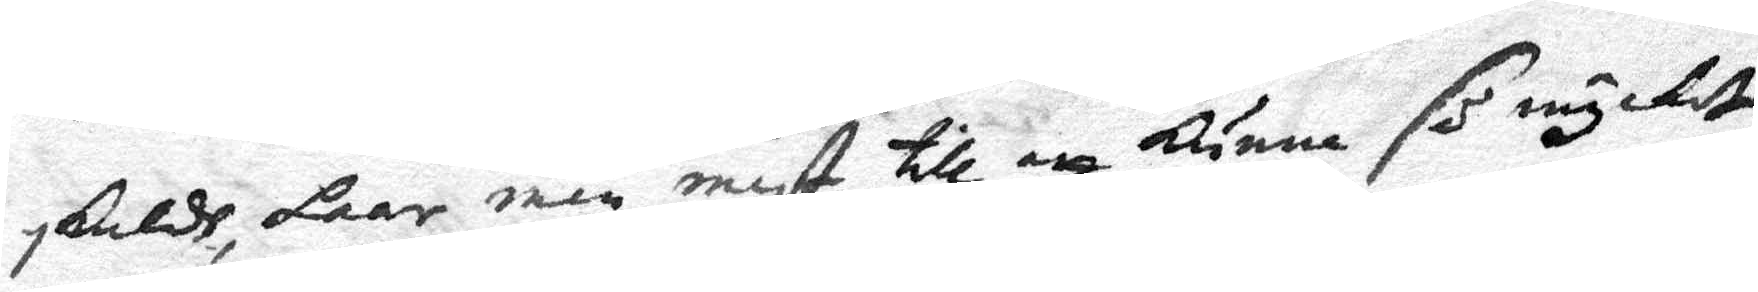 skuldh, laar men mäst till att Kunna så mycket 
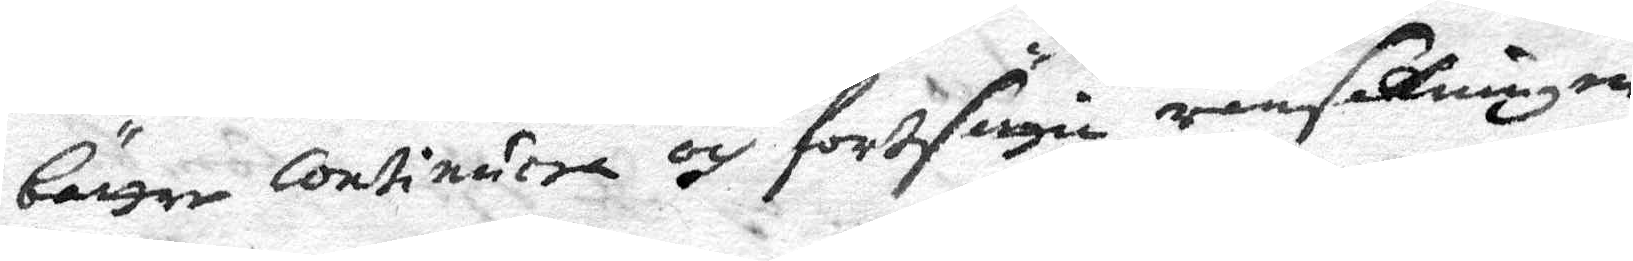bättre Continuera och fortsägu rasaKningen
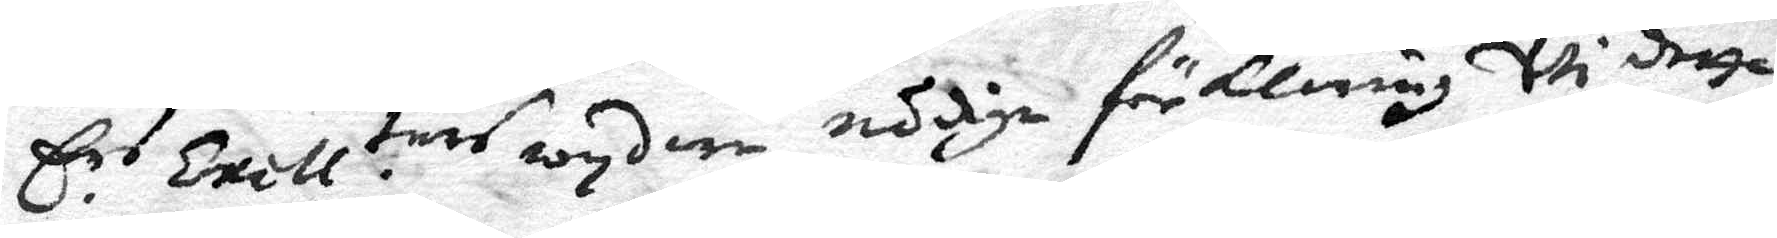Ers. Exell. ties wyd er nödiga förKlaring Wi detta
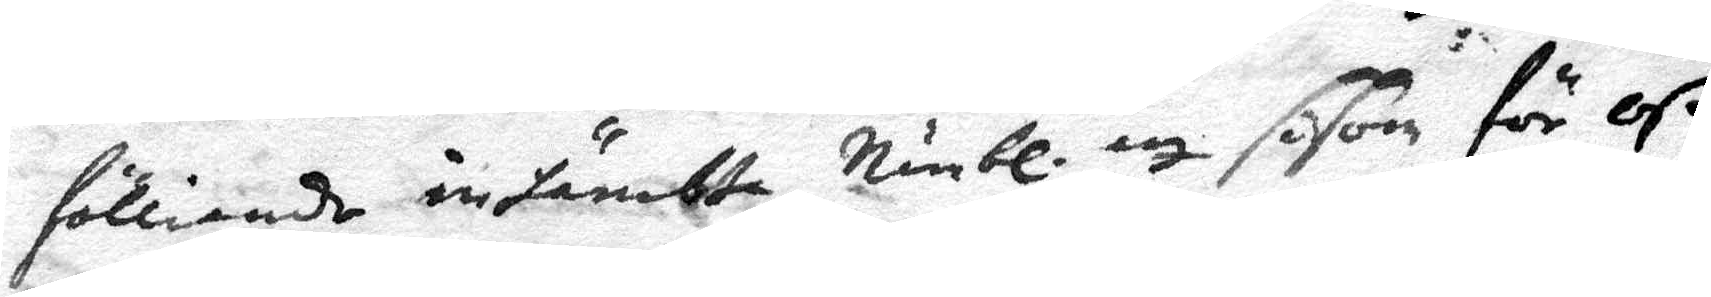fölliande instämbte, Nämbl. att såsom för Oß
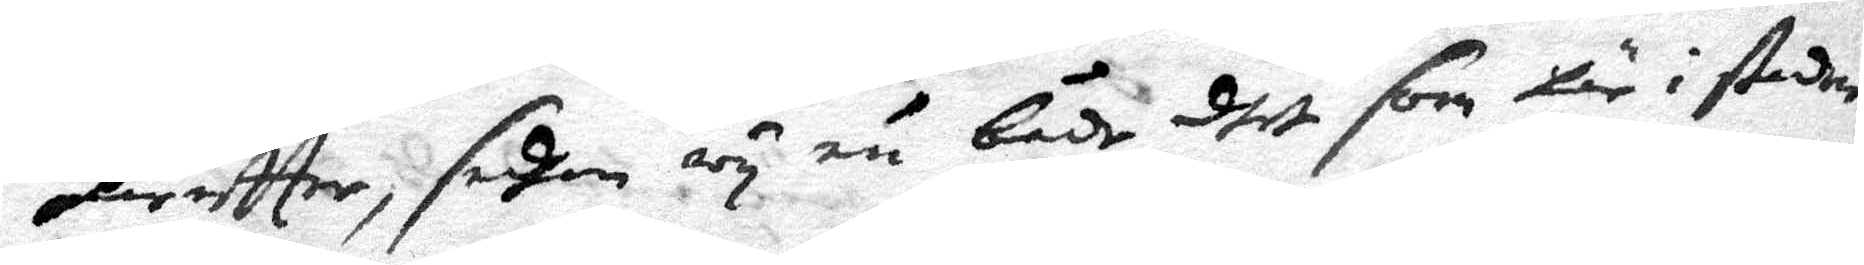häreffter, sedhan Wy nu både dhet som här i staden
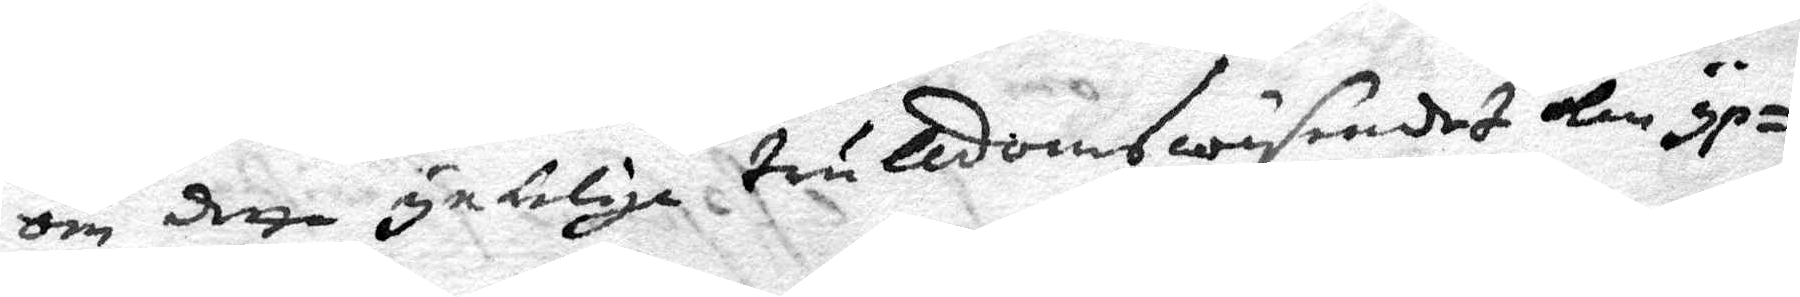det detta ynkeliga trulldomswäsendet kan yp¬
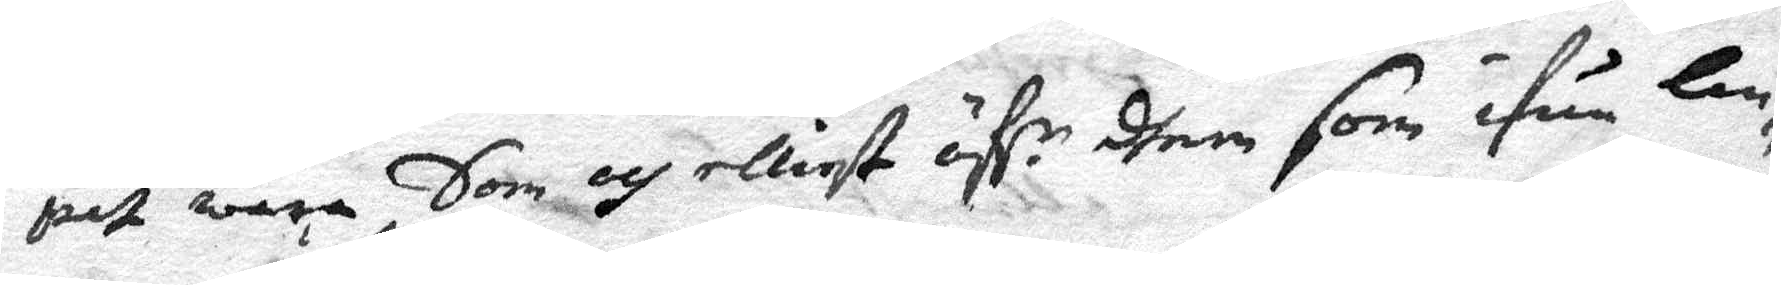pet wara, Som och elliest öfr r dhem som ifrån lan¬
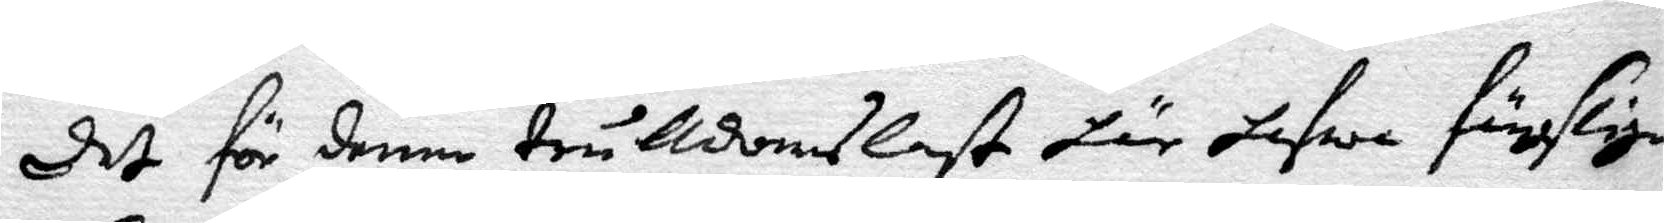det för denne trulldomslast här hafwa fängslige
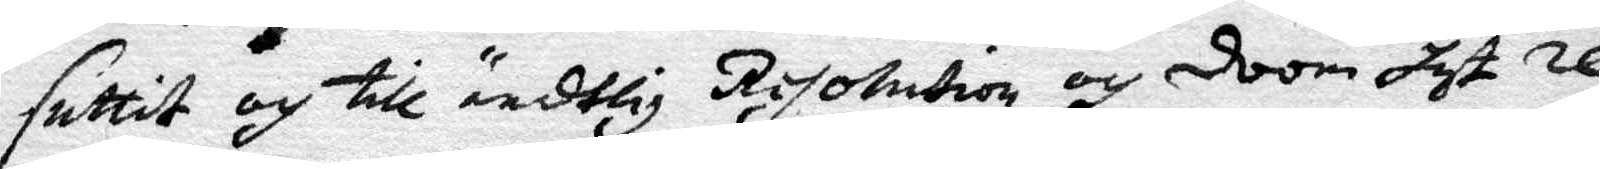suttit och till ändtlig Resolution och doom hit re¬
